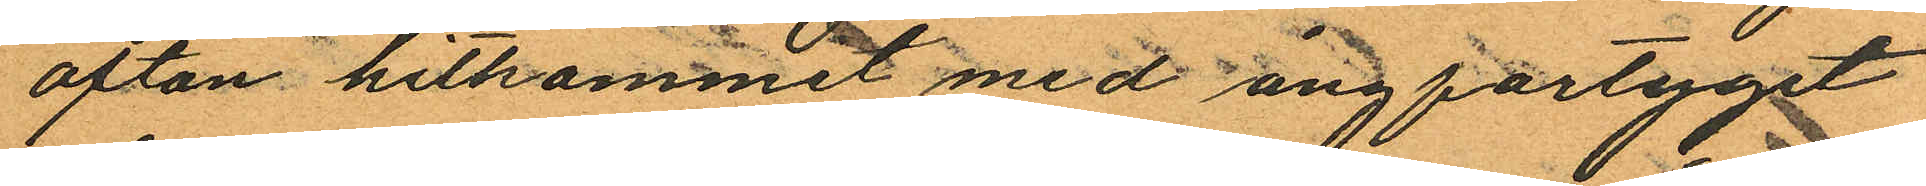afton hitkommit med ångfartyget
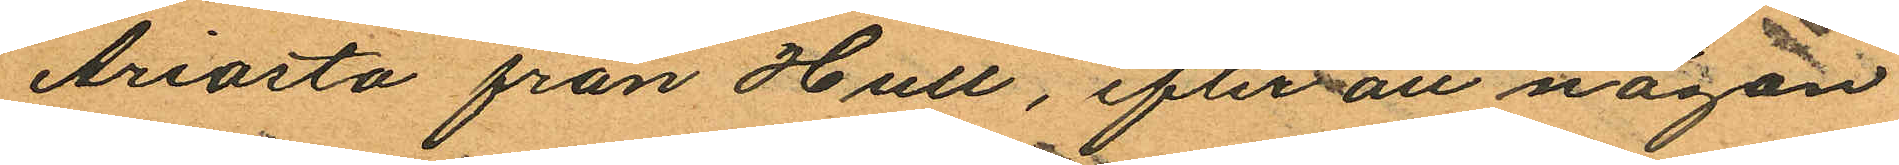Ariosto från Hull, efter att någon
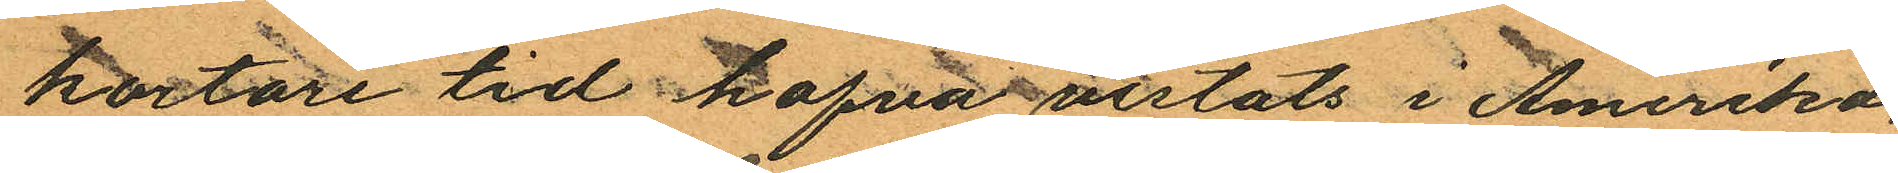kortare tid hafva vistats i Amerika.
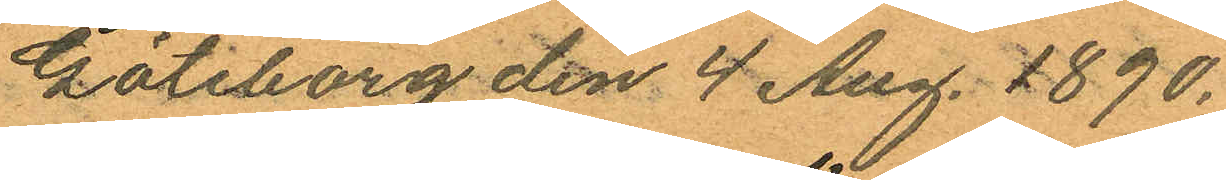Göteborg den 4 Aug. 1890.
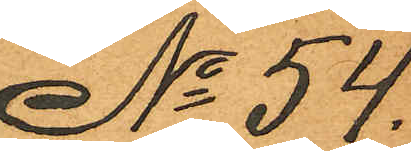No 54.
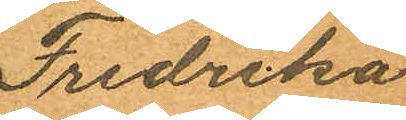Fredrika
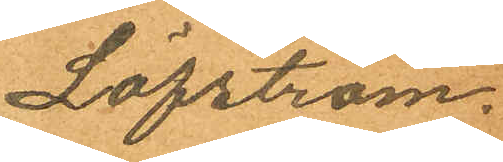Löfström.
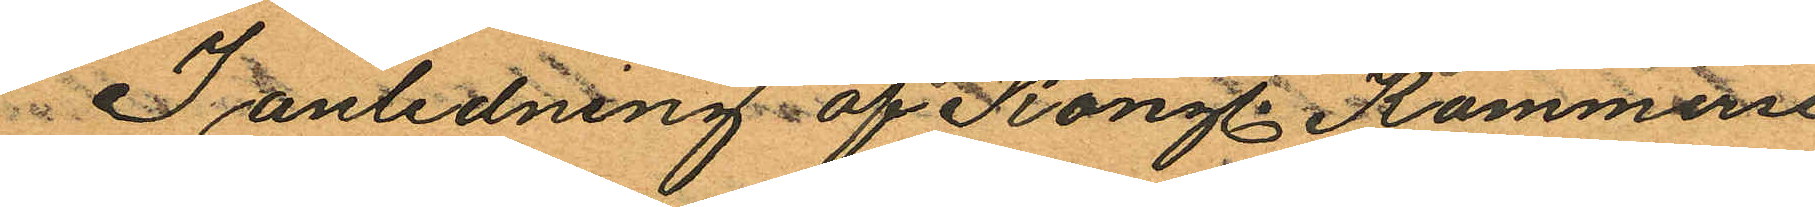I anledning af Kongl. Kommerse
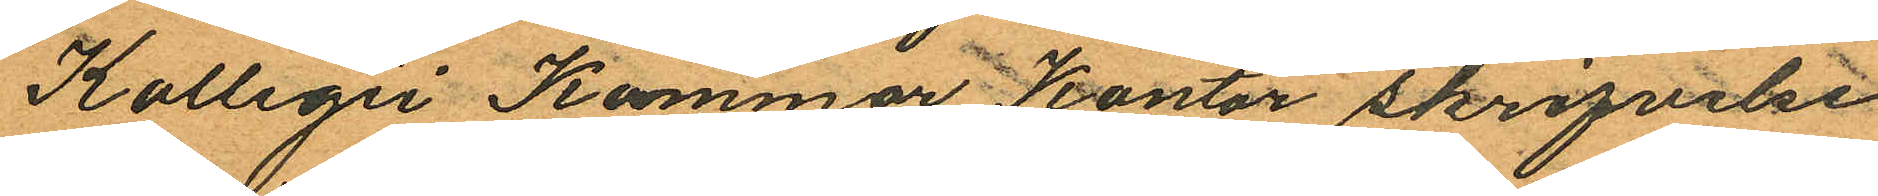Kollegii Kammar Kontor skrifvelse
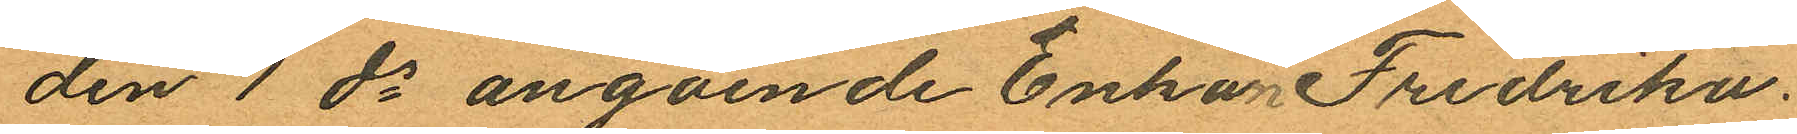den 1 ds angående Enkan Fredrika
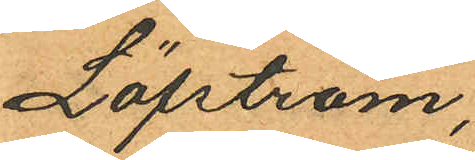Löfström,
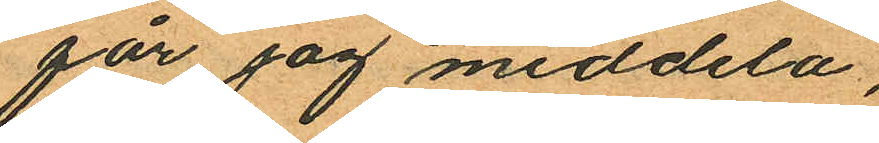får jag meddela,
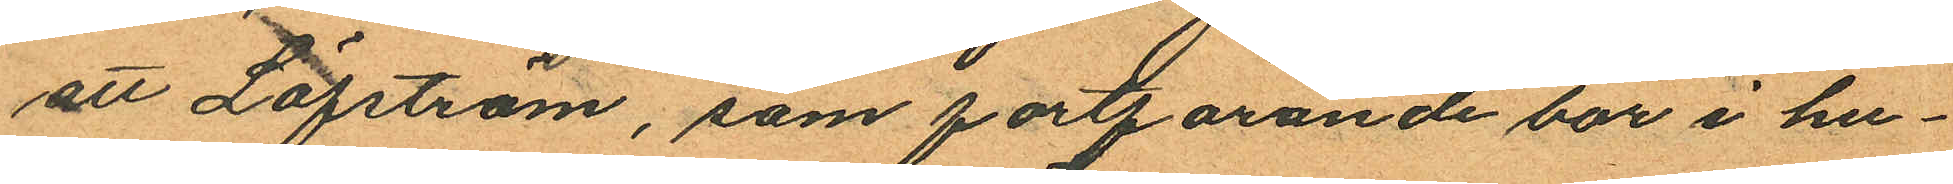att Löfström, som fortfarande bor i hu¬
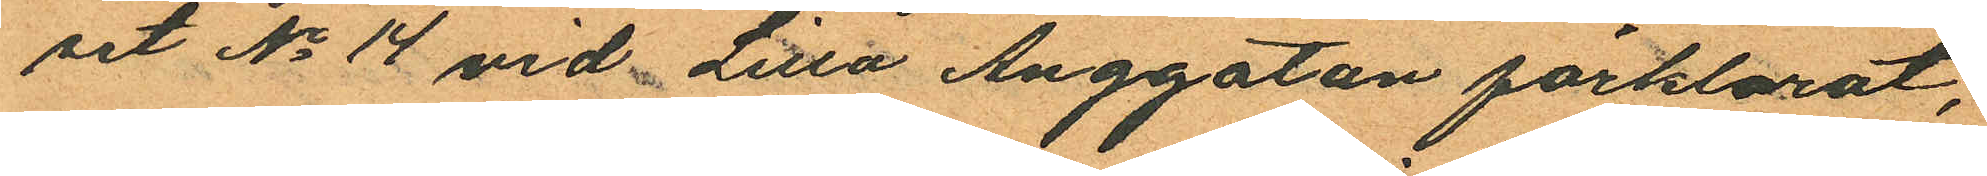set No 14 vid Lilla Änggatan förklarat,
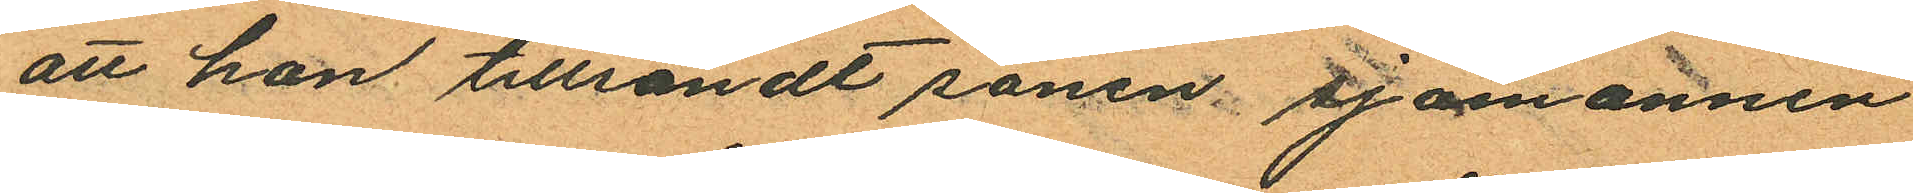att hon tillsändt sonen sjömannen
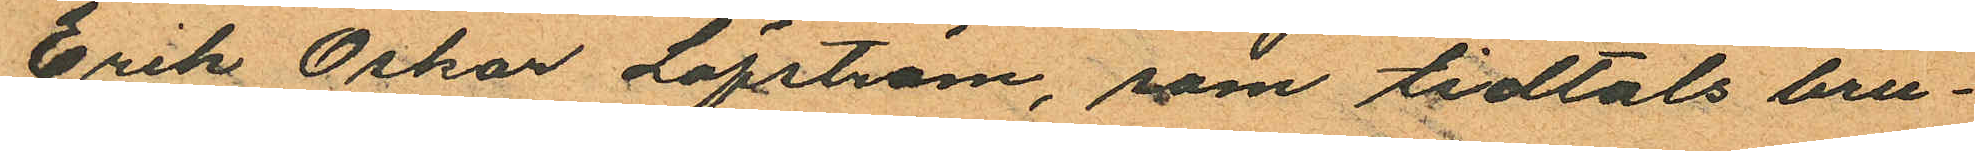Erik Oskar Löfström, som tidtals bru¬
